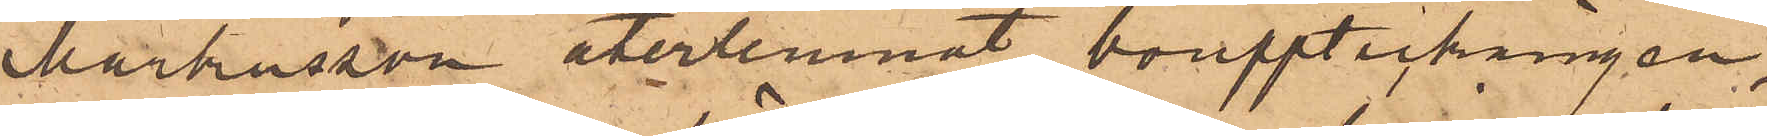Markusson återlemnat bouppteckningen,
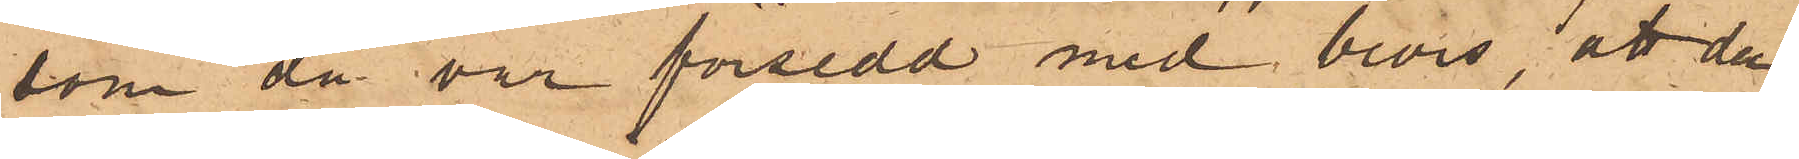som då var försedd med bevis, att den
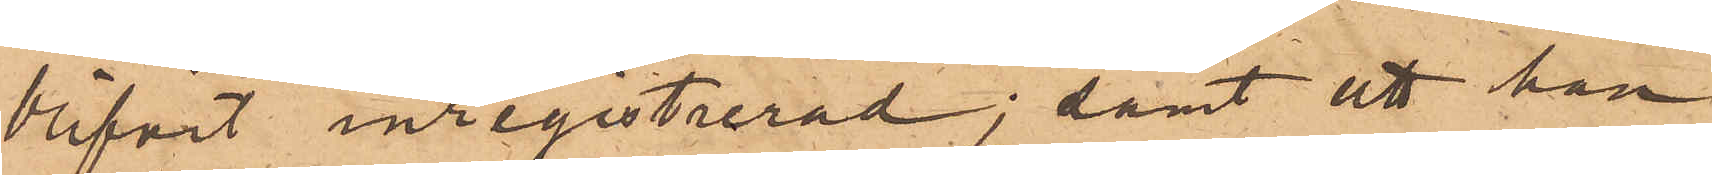blifvit inregistrerad; samt att han
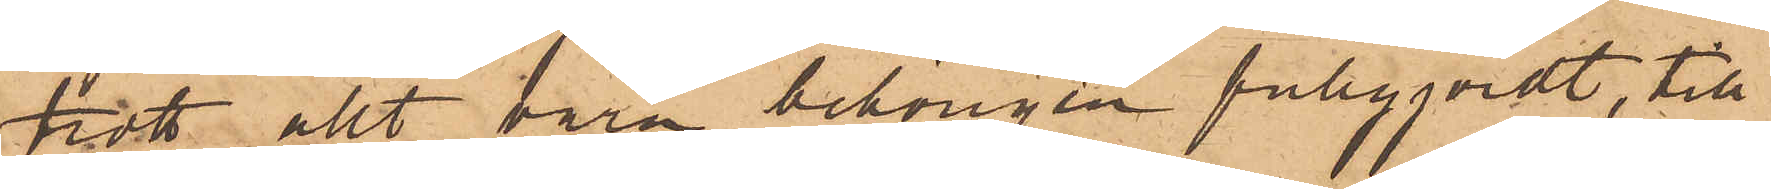trott allt vara behörigen fullgjordt, till
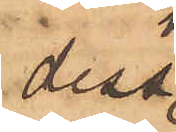dess
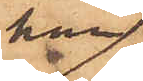han
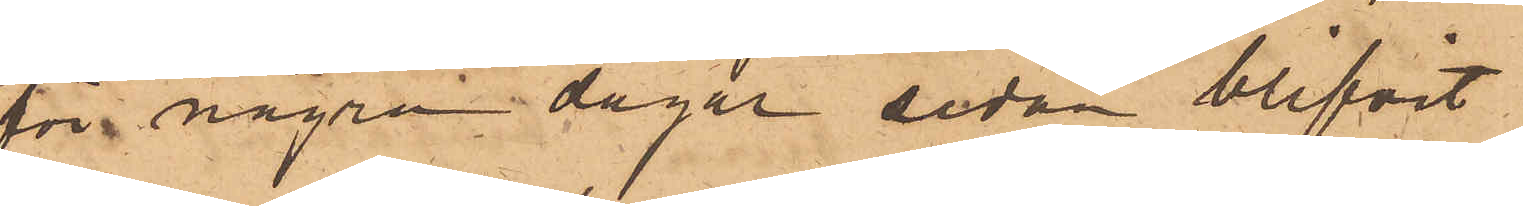för några dagar sedan blifvit
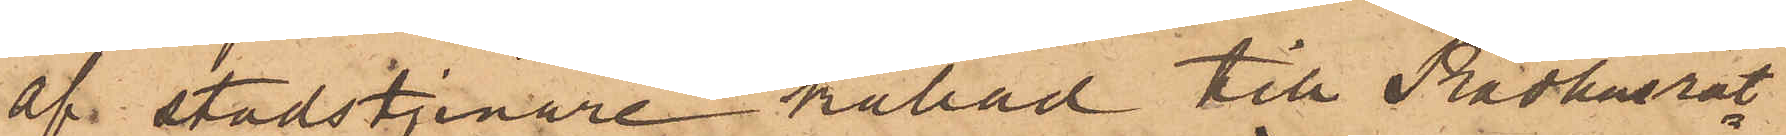af stadstjenare kallad till Rådhusrät¬
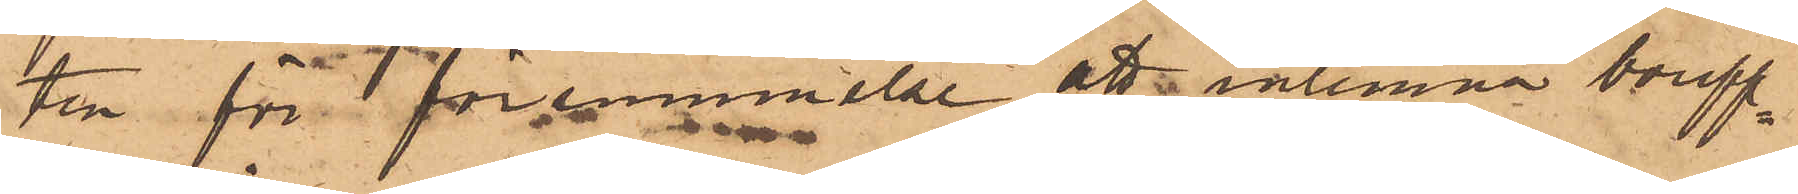ten för försummelse att inlemna boupp¬
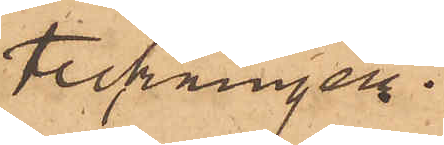teckningen.
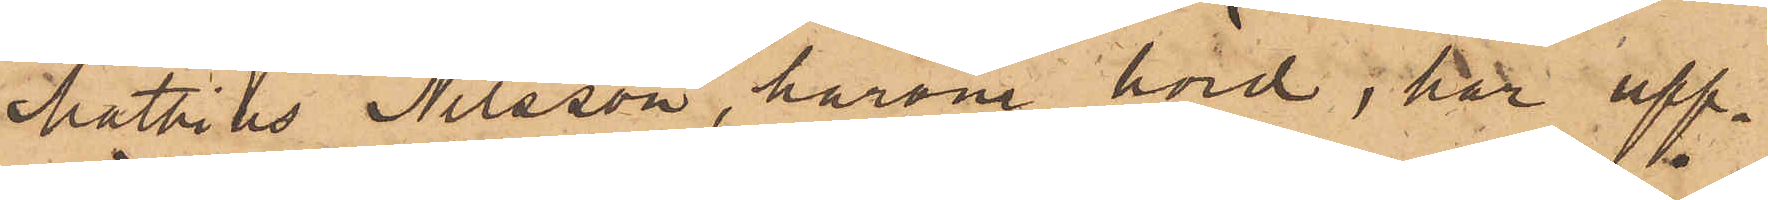Mathias Nilsson, härom hörd, har upp¬
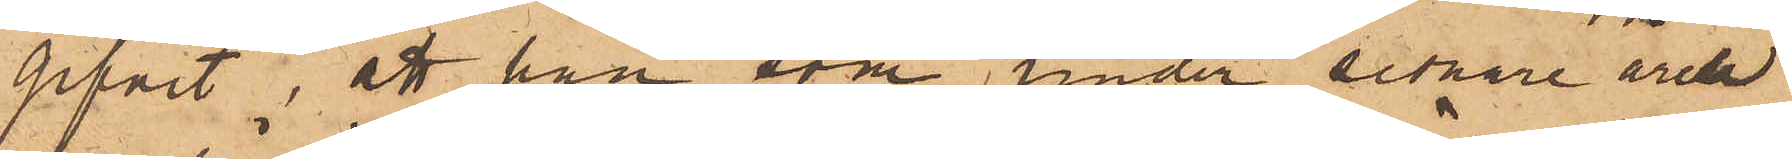gifvit, att han som under sednare åren
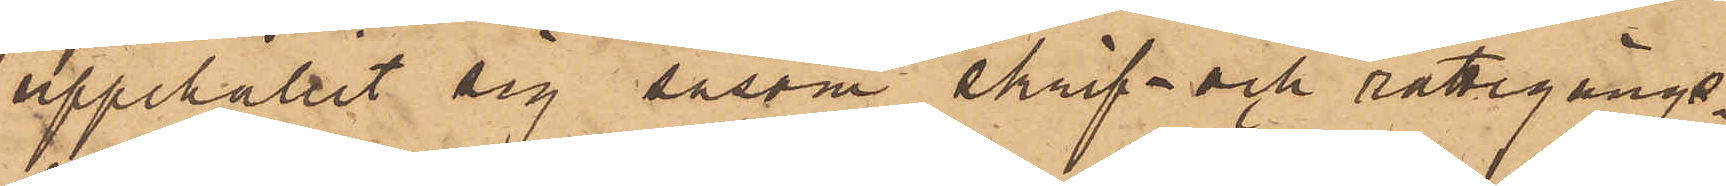uppehållit sig såsom skrif- och rättegångs¬
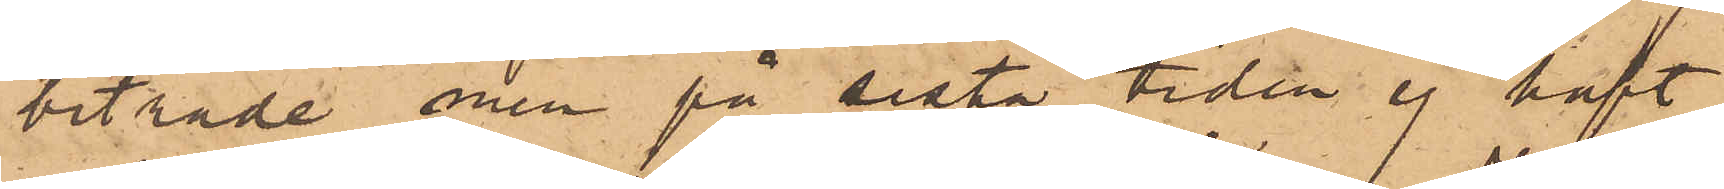biträde men på sista tiden ej haft
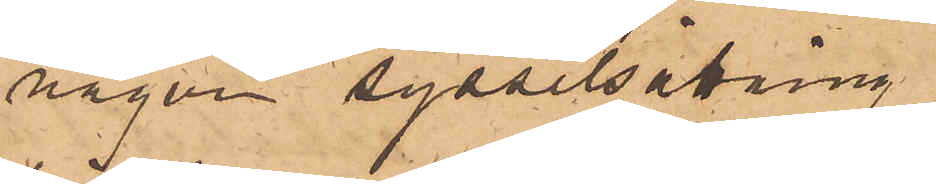någon sysselsättning,
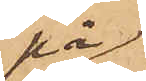på
